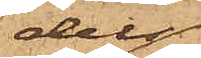dels
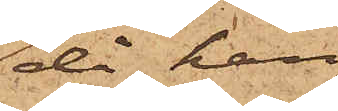då han
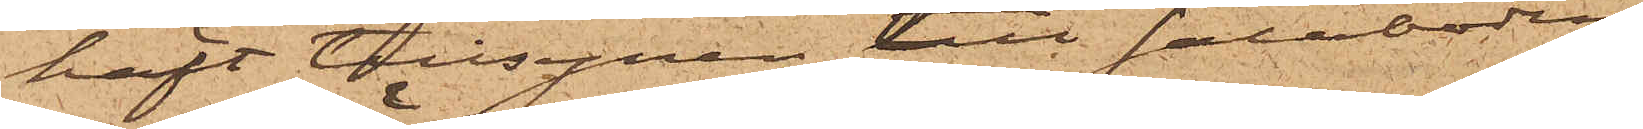haft tillsynen till saluboden
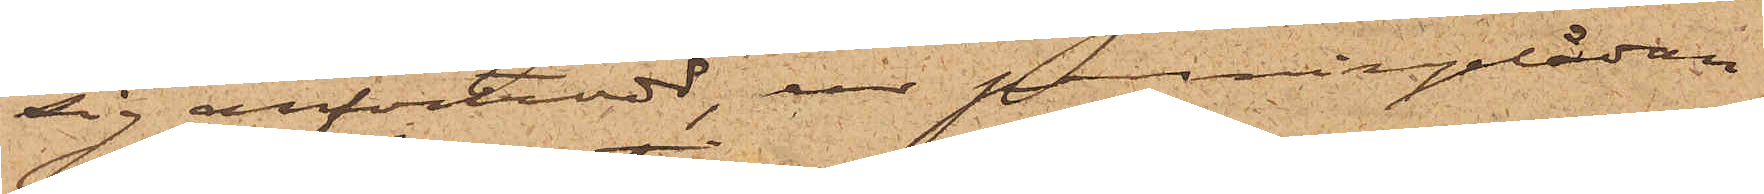sig anförtrodd, ur penningelådan
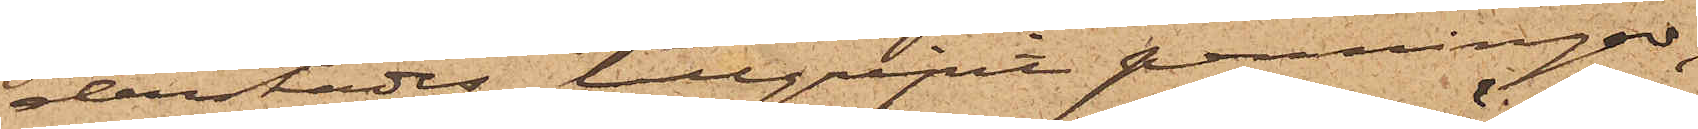derstädes tillgripit penningar,
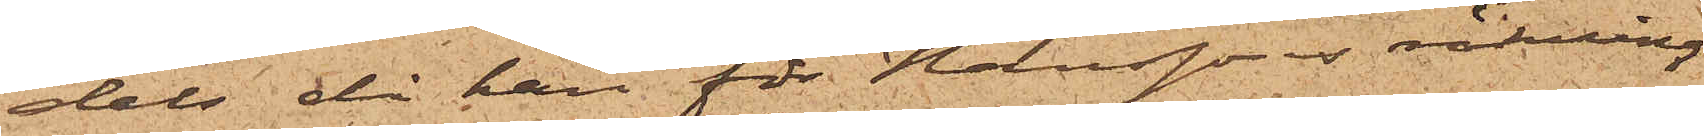dels då han för Hanssons räkning
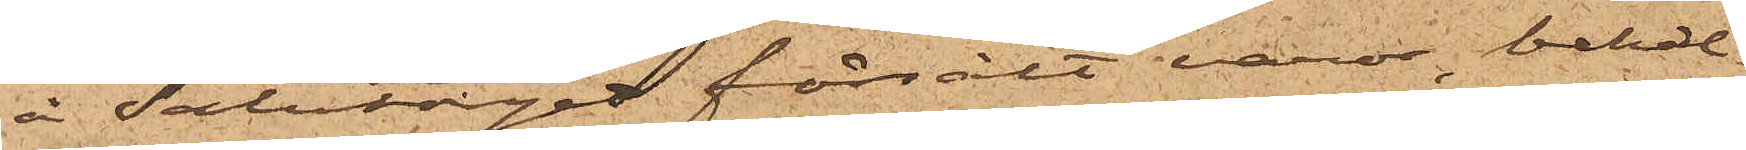å salutorget försålt varor, behål¬
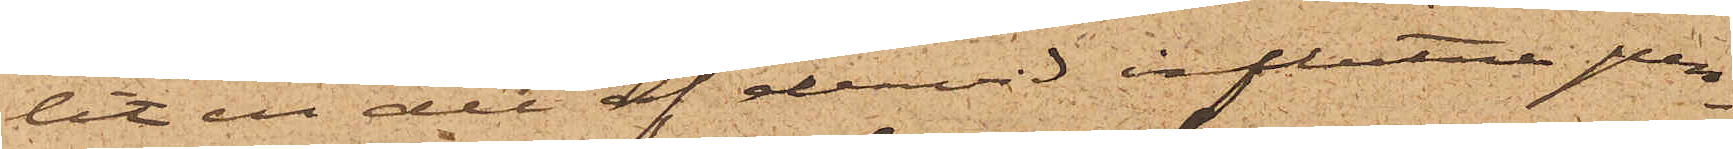lit en del af dervid influtna pen¬
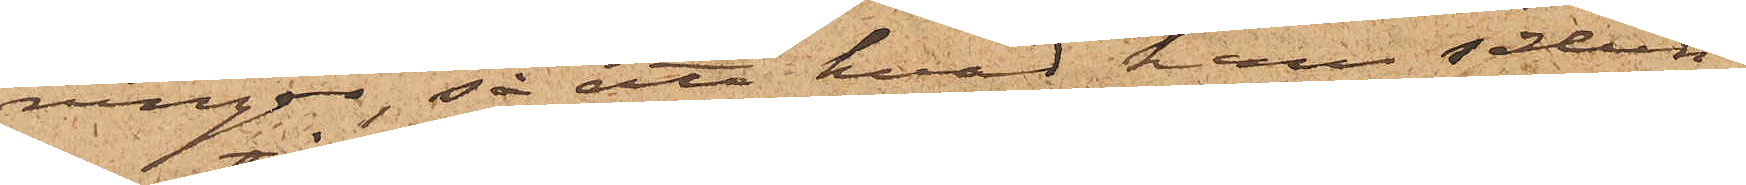ningar, så att hvad han sålun¬
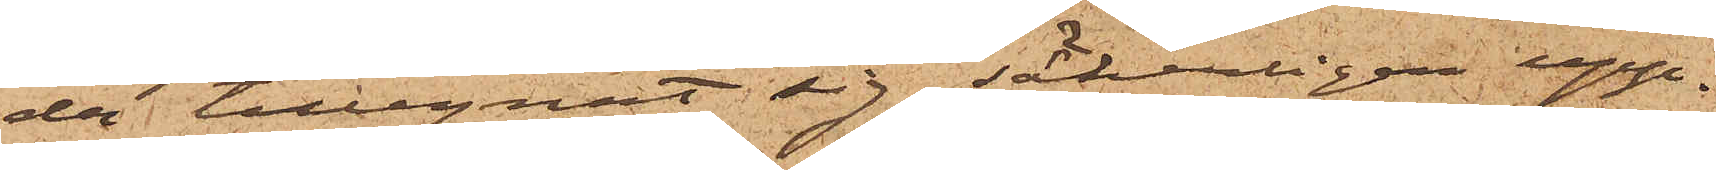da tillegnat sig säkerligen upp¬
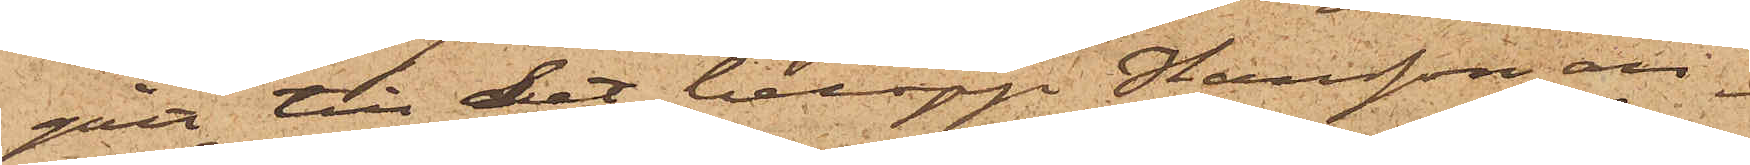gått till det belopp Hansson an¬
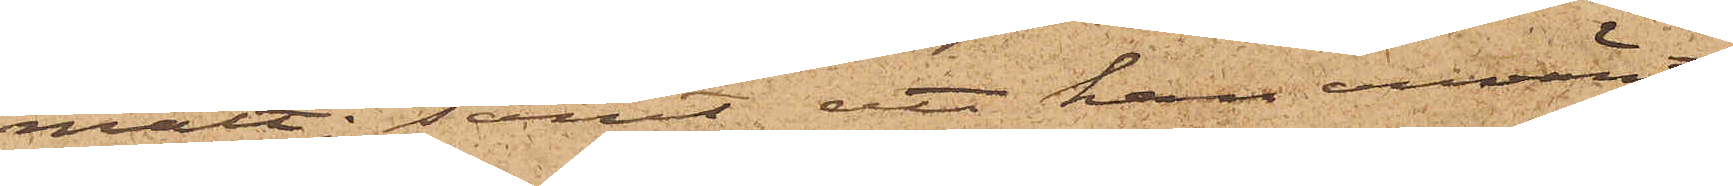mält; samt att han användt
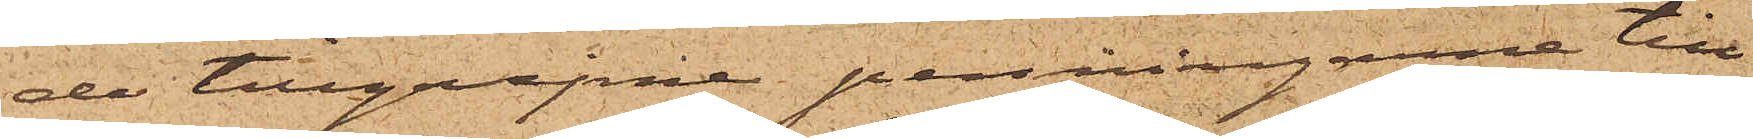de tillgripne penningarne till
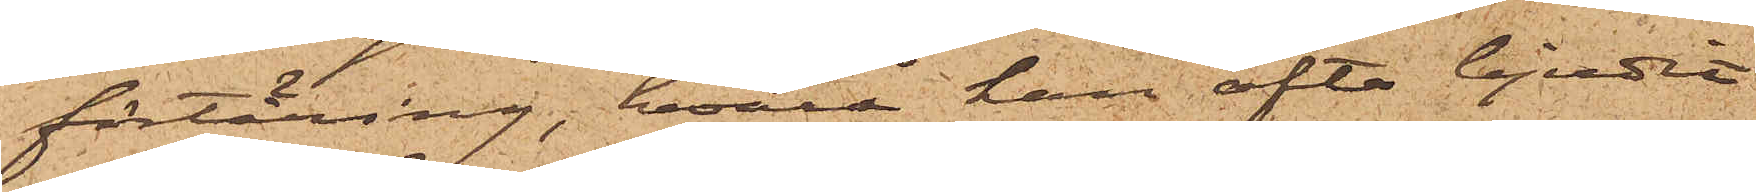förtäring, hvarå han ofta bjudit
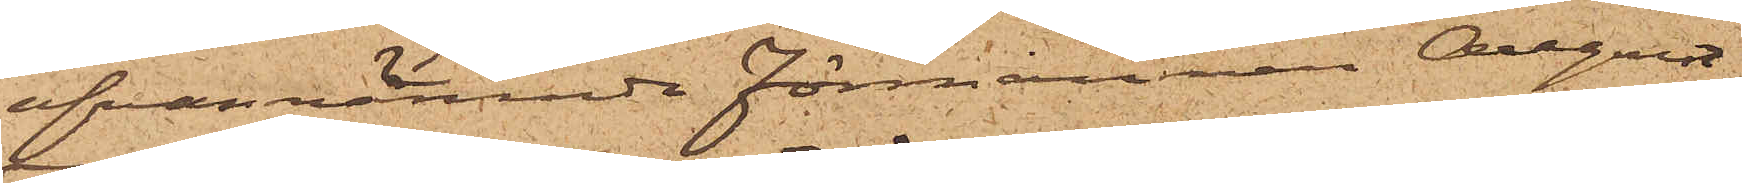ofvannämnde Förmannen August
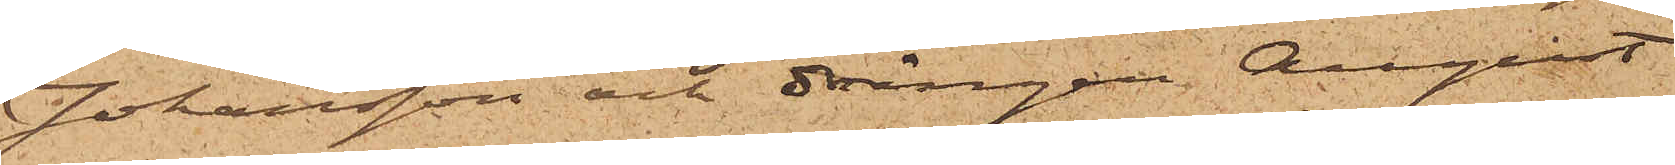Johansson och drängen August
